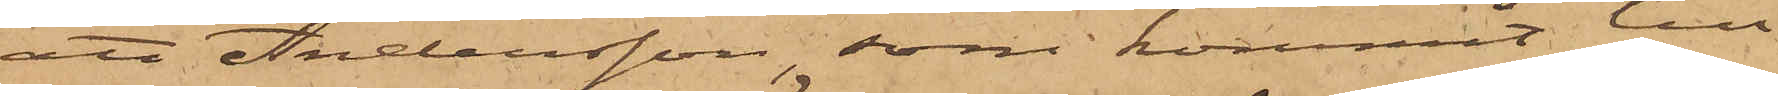att Andersson, som kommit till
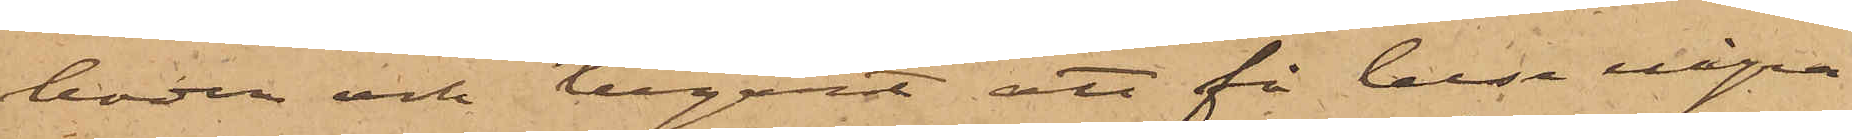boden och begärt att få bese några
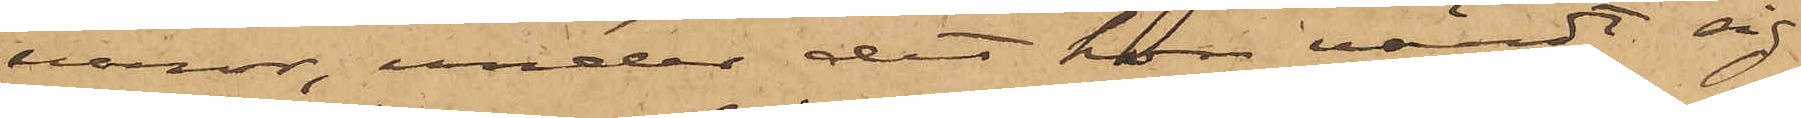varor, under det hon värdt sig
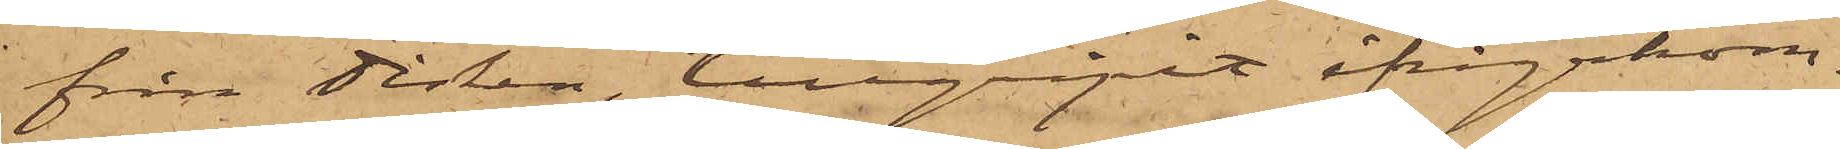från disken, tillgripit ifrågakom¬
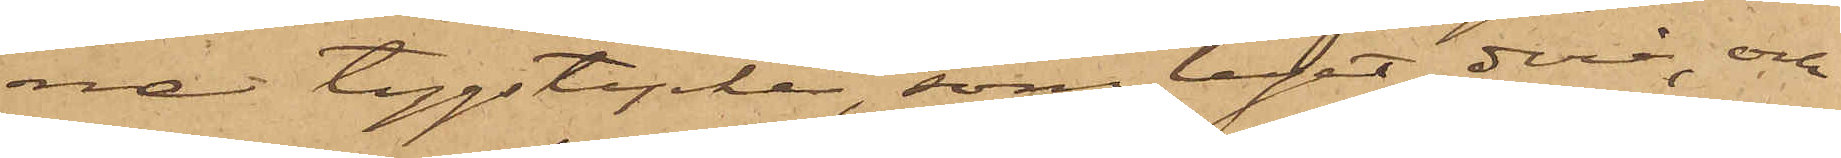na tygstycke, som legat derå, och
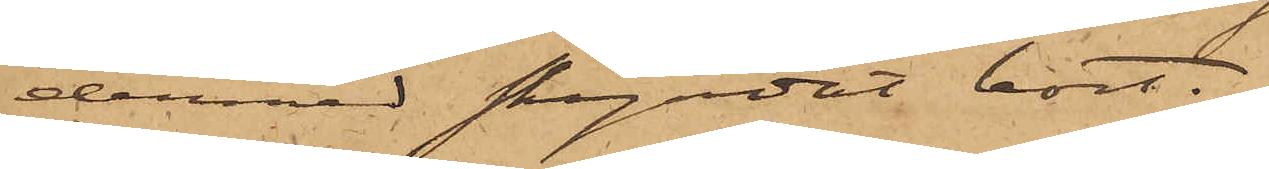dermed skyndat bort.
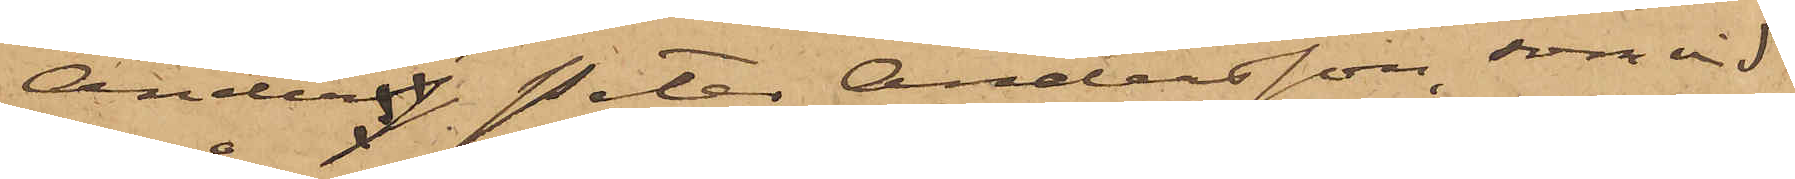Anders Peter Andersson, som vid
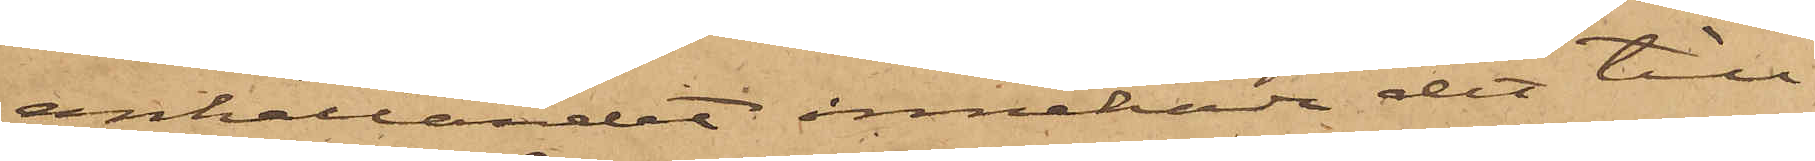anhållandet innehade det till¬
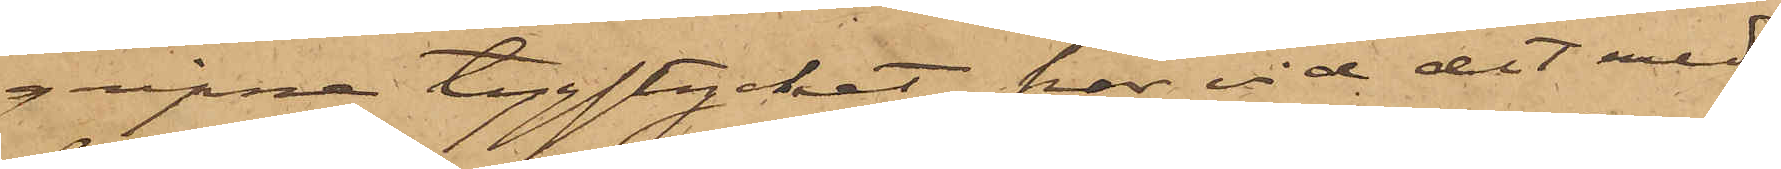gripne tygstycket, har vid det med
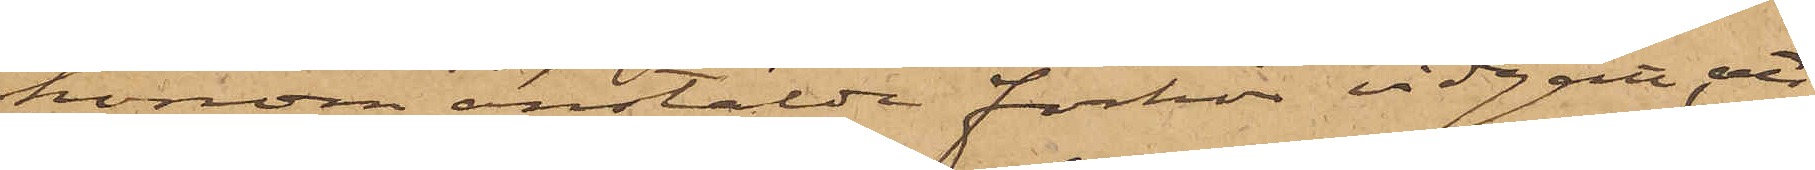honom anstälde förhör vidgått, att
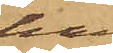han
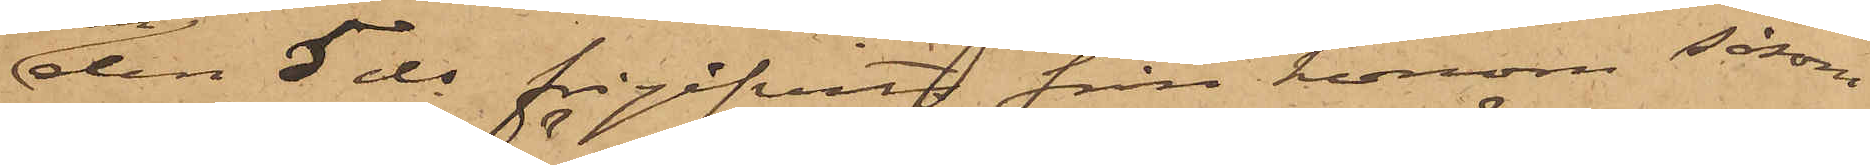den 5 ds frigifvits från honom såsom
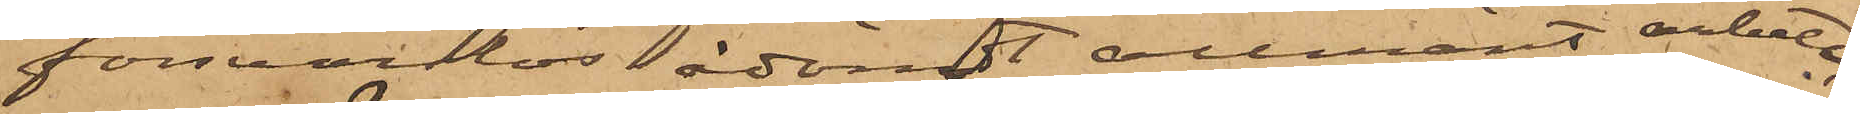försvarslös ådömdt allmänt arbete,
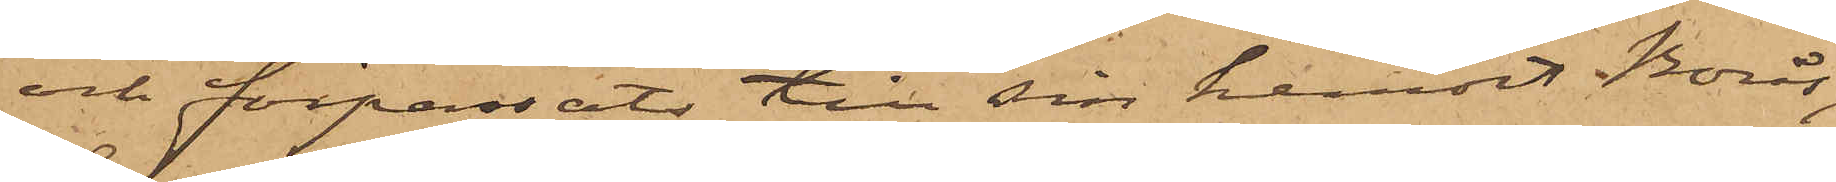och förpassats till sin hemort Borås,
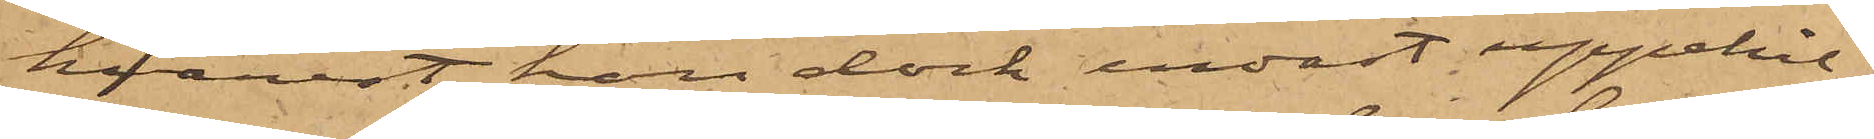hvarest han dock endast uppehål¬
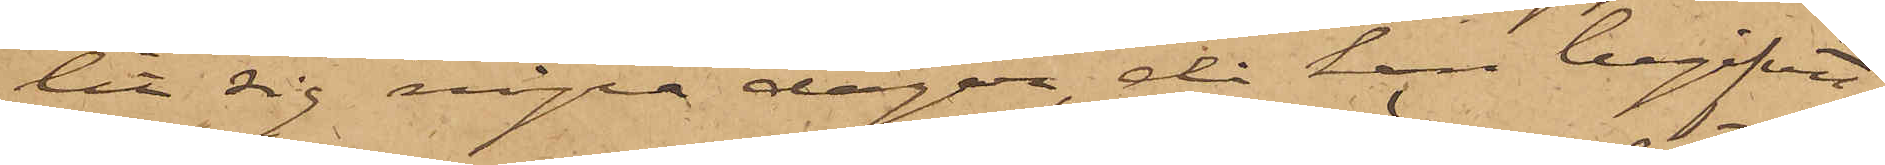lit sig några dagar, då han begifvit
